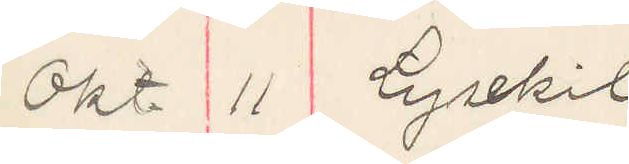Okt. 11 Lysekil
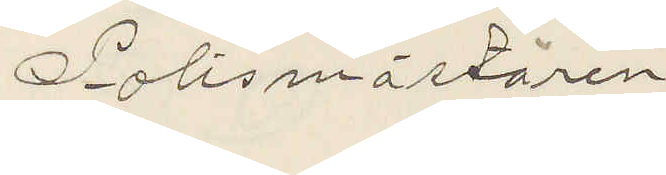Polismästaren
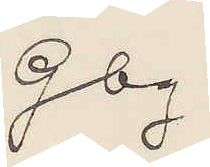Gbg.
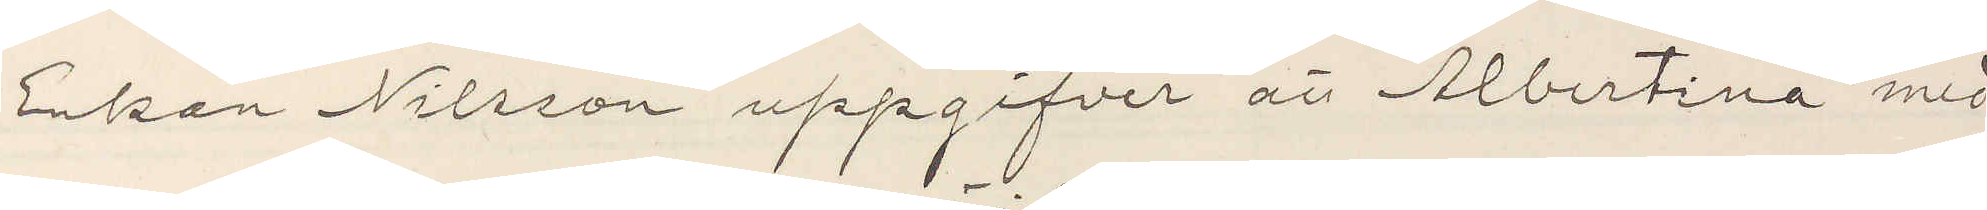Enkan Nilsson uppgifver att Albertina med¬
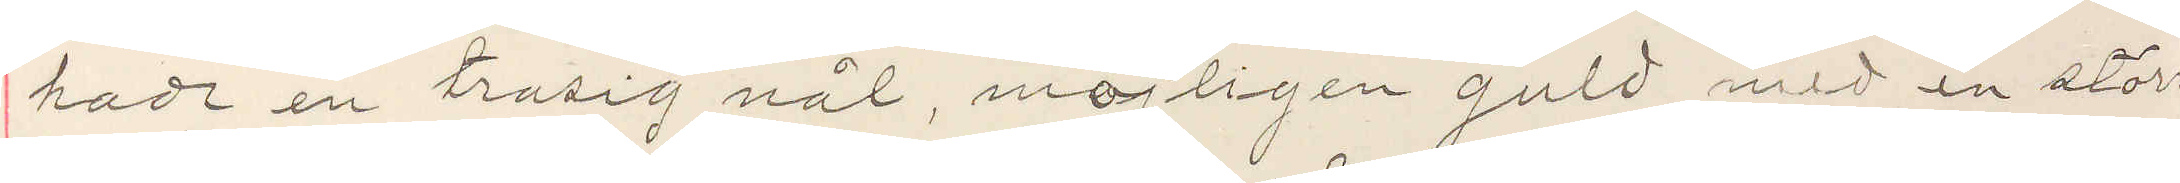hade en trasig nål, möjligen guld med en större
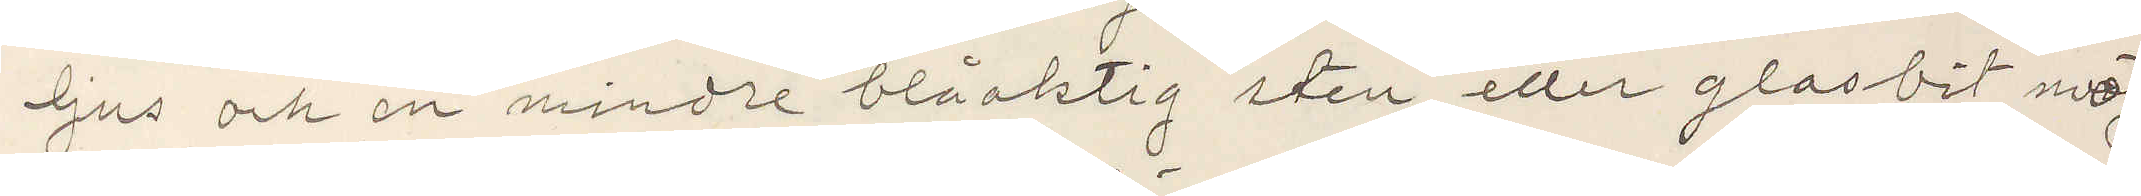ljus och en mindre blåaktig sten eller glasbit möj¬
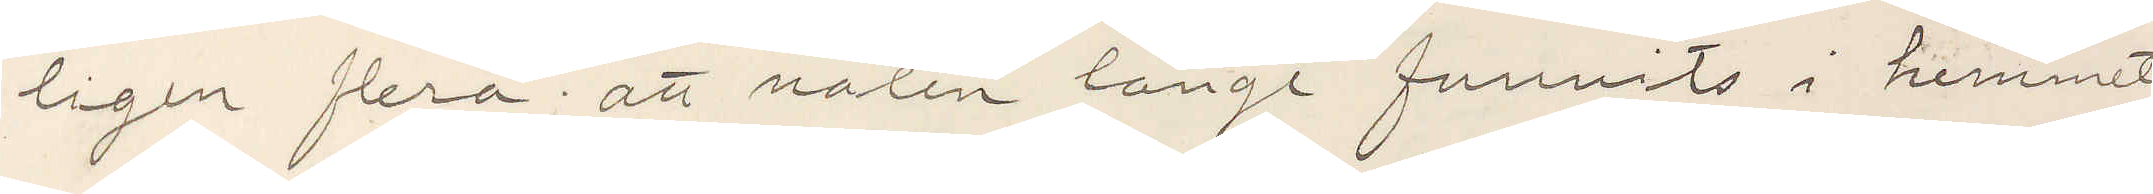ligen flera; att nålen länge funnits i hemmet
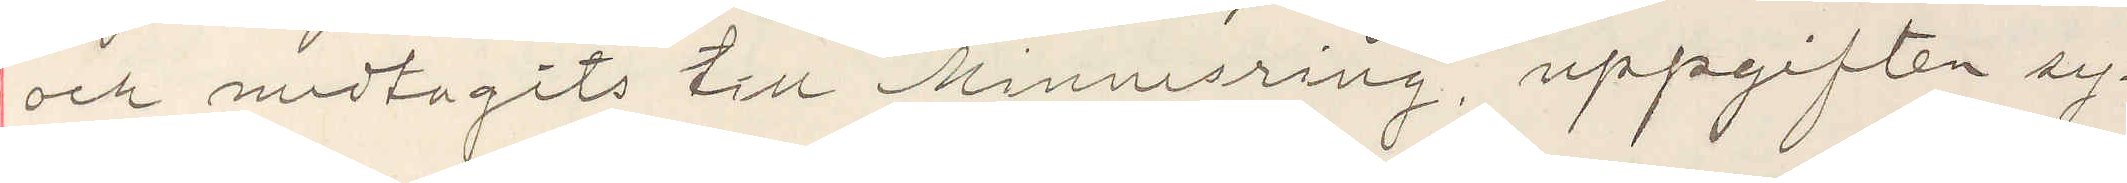och medtagits till "Minnesring". uppgiften sy¬
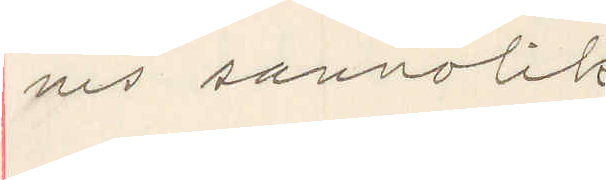nes sannolik
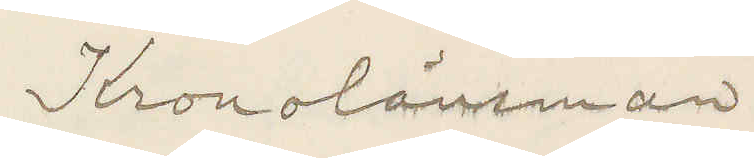Kronolänsman
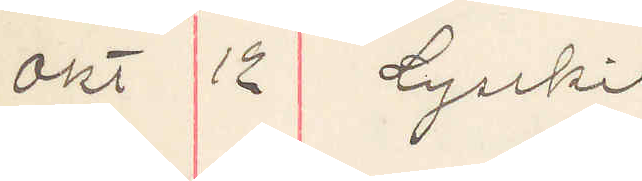Okt 12 Lysekil
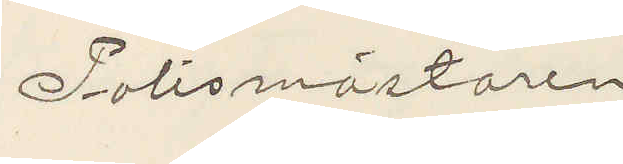Polismästaren
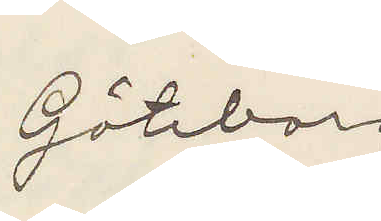Göteborg
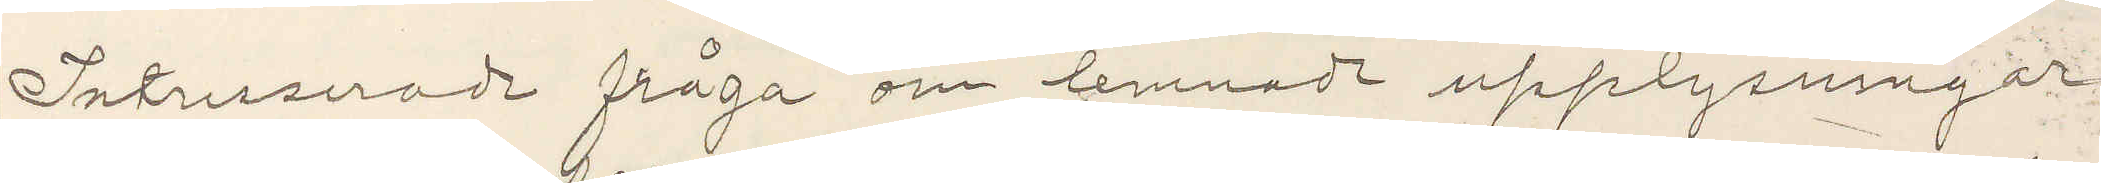Intresserade fråga om lemnade upplysningar
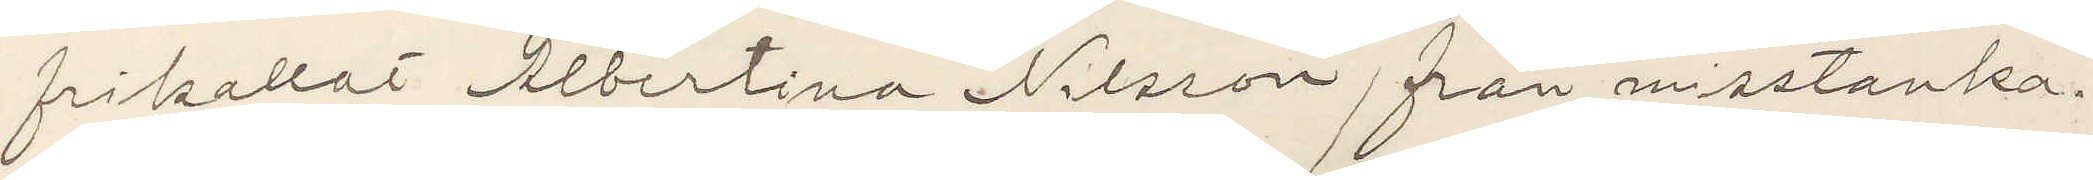frikallat Albertina Nilsson från misstanka.
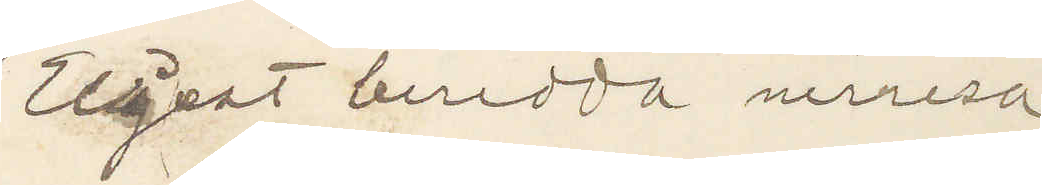Eljest beredda nerresa
